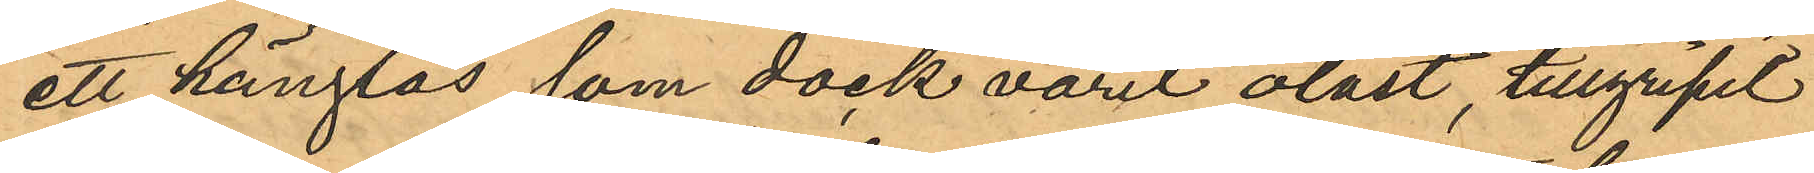ett hänglås som dock varit olåst, tillgripit
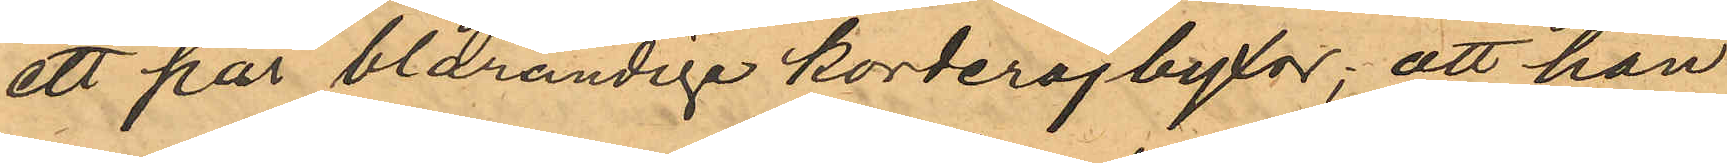ett par blårandige korderojbyxor; att han
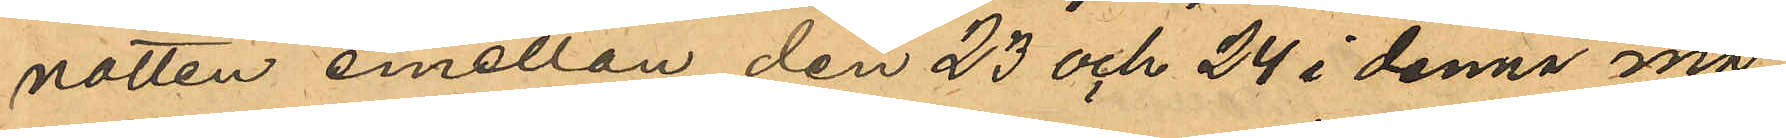natten emellan den 23 och 24 i denna må¬
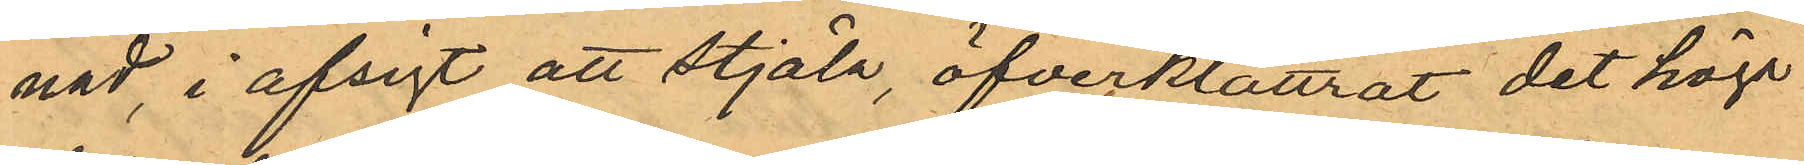nad, i afsigt att stjäla, öfverklättrat det höga
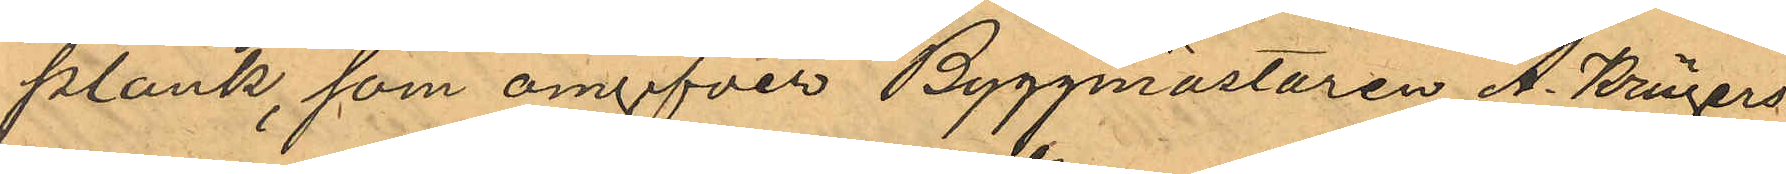plank, som omgifver Byggmästaren A. Krügers
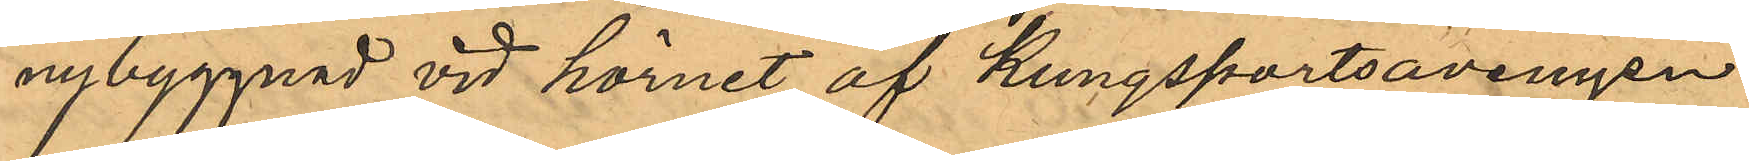nybyggnad vid hörnet af Kungsportsavenyen
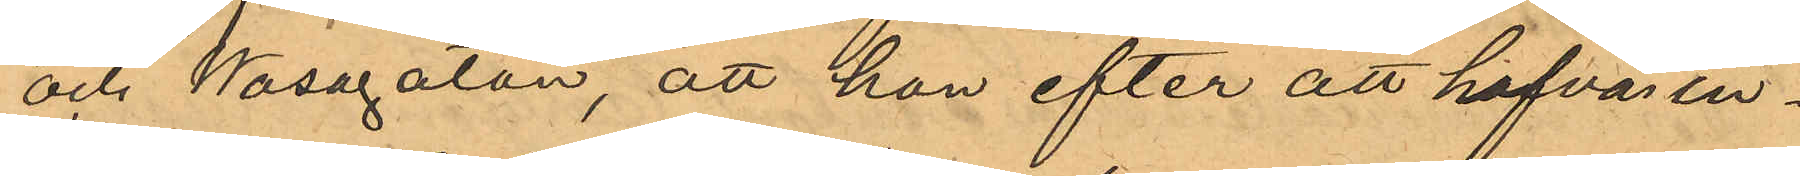och Wasagatan, att han efter att hafva in¬
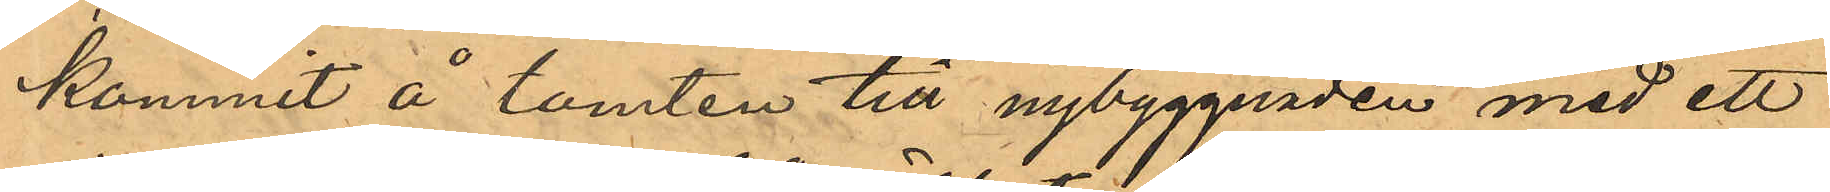kommit å tomten till nybyggnaden med ett
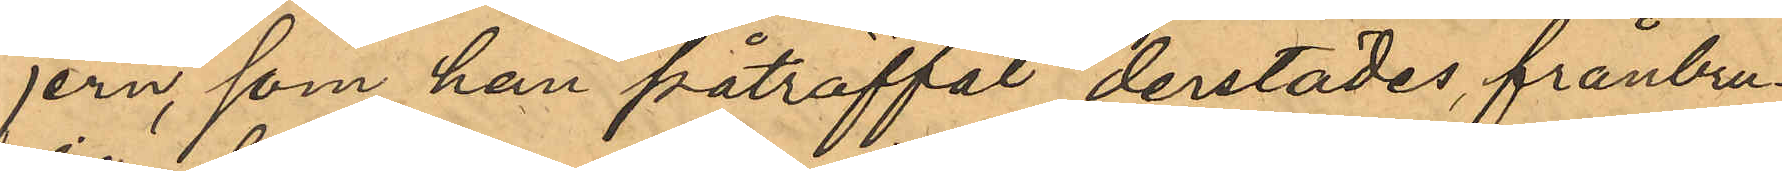jern, som han påträffat derstädes frånbru¬
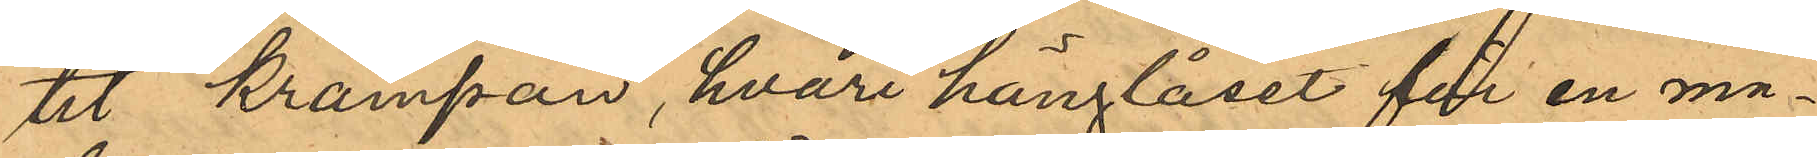tit krampan, hvari hänglåset för en ma¬
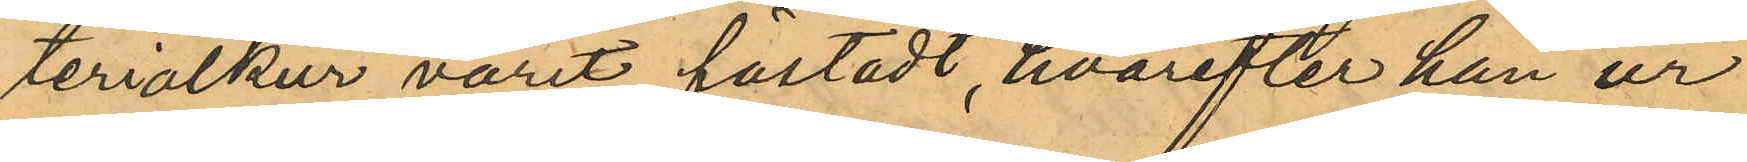terialkur varit fästadt, hvarefter han ur
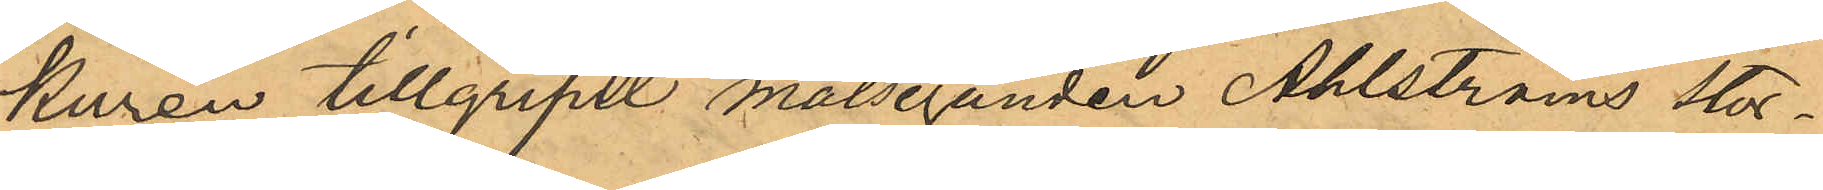kuren tillgripit målseganden Ahlströms stor¬
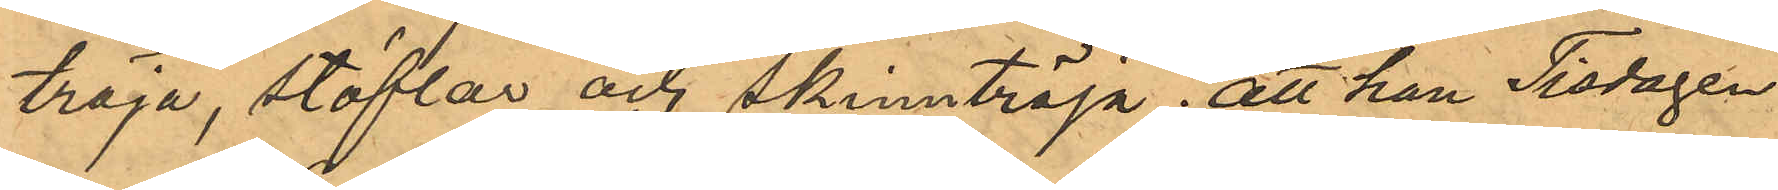tröja, stöflar och skinntröja; att han Tisdagen
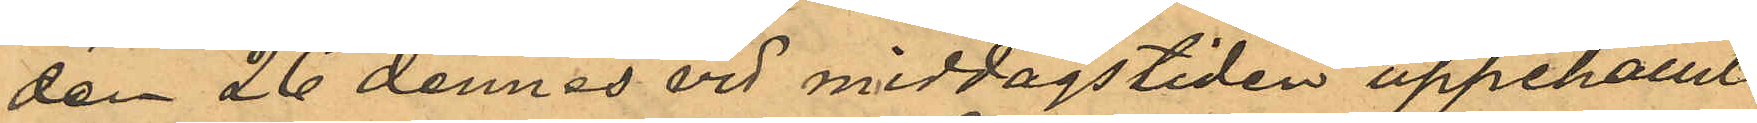den 26 dennes vid middagstiden uppehållit
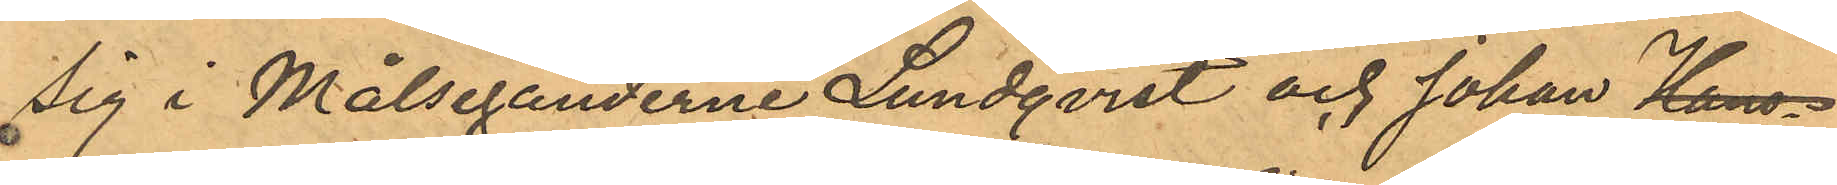sig i Målseganderne Lundqvist och Johan Hans¬
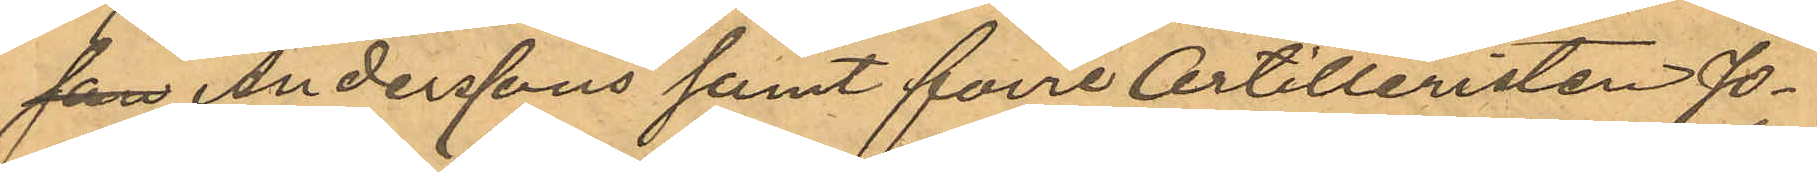son Anderssons samt förre Artilleristen Jo¬
